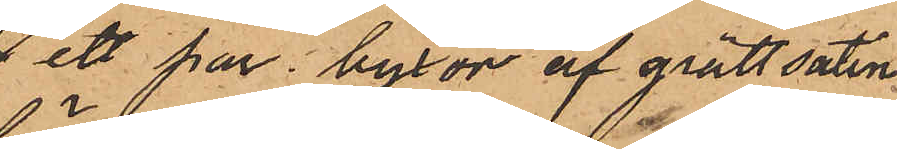 ett par byxor af grått satin
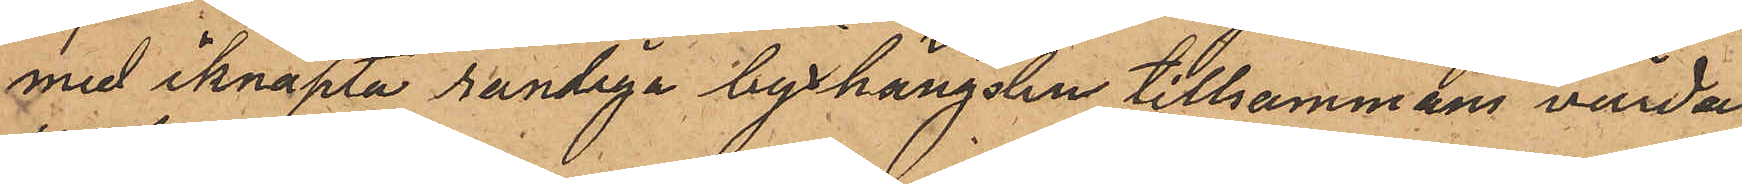med iknäpta randiga byxhängslen tillsammans värda
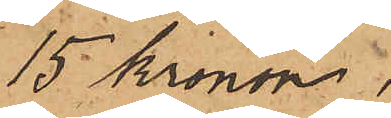15 Kronor.
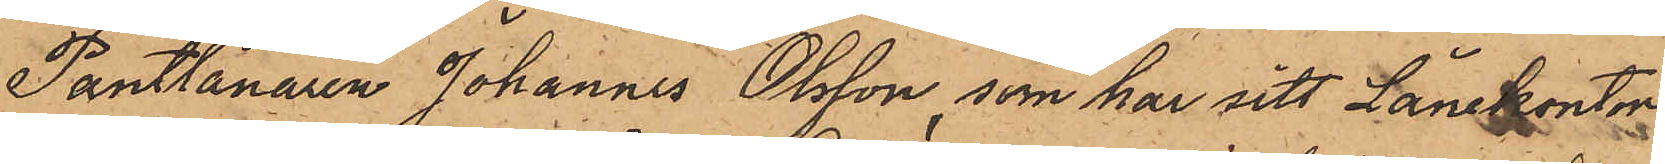Pantlånaren Johannes Olsson, som har sitt Lånekontor
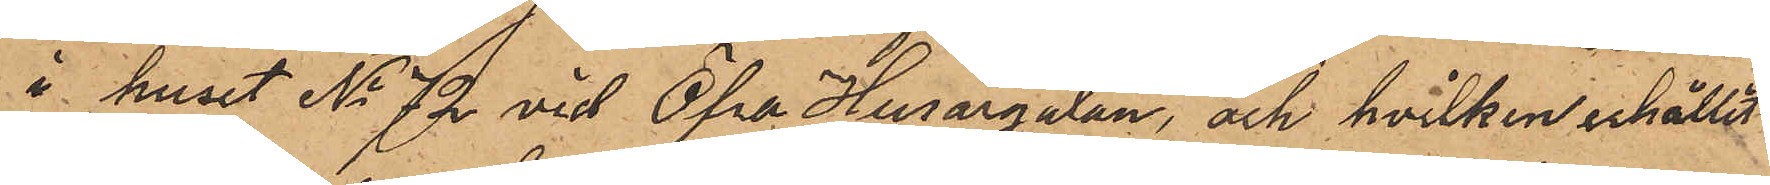i huset No 72 vid Öfra Husargatan, och hvilken erhållit
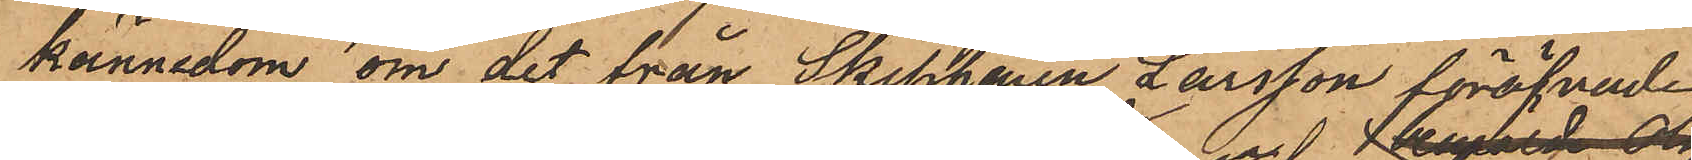kännedom om det från Skepparen Larsson föröfvade
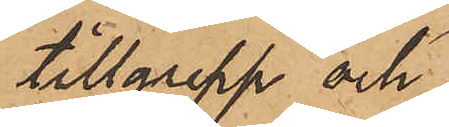tillgrepp och
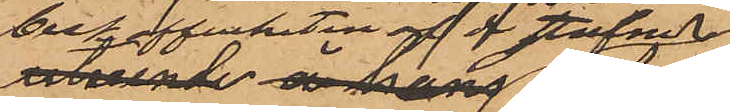beskaffenheten af de stulne
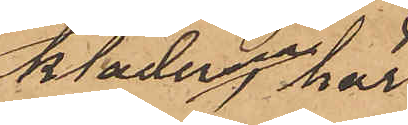kläderna, har
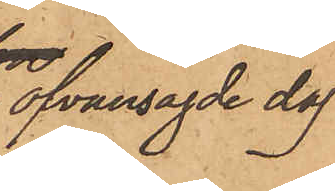ofvansagde dag
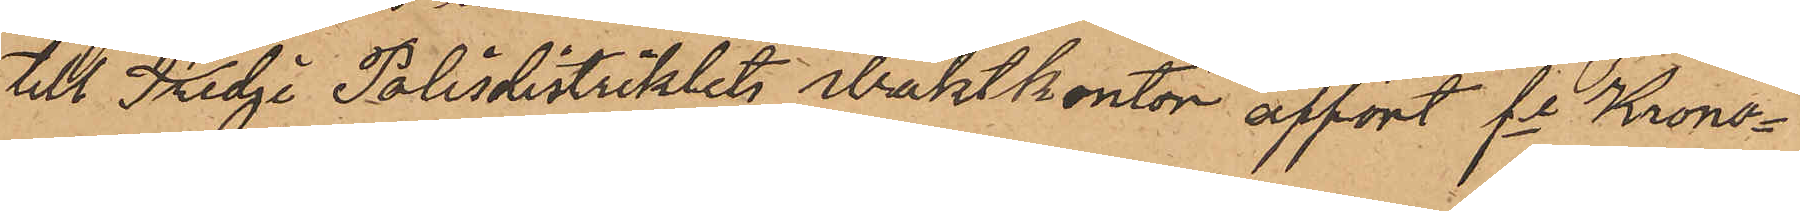till Tredje Polisdistriktets waktkontor affört fe Krono¬
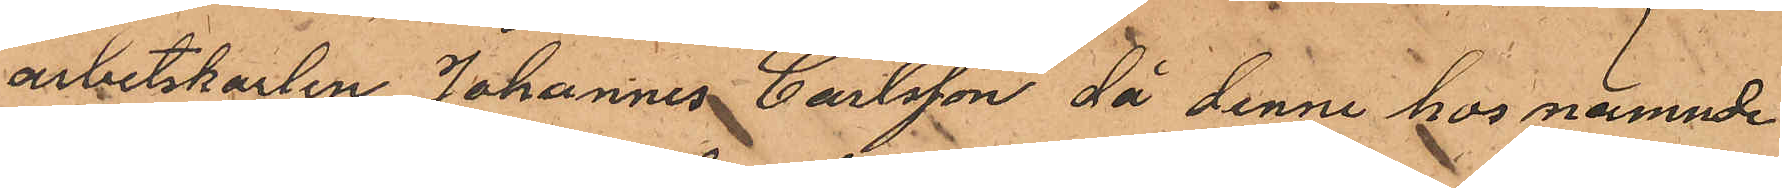arbetskarlen Johannes Carlsson då denne hos nämnde
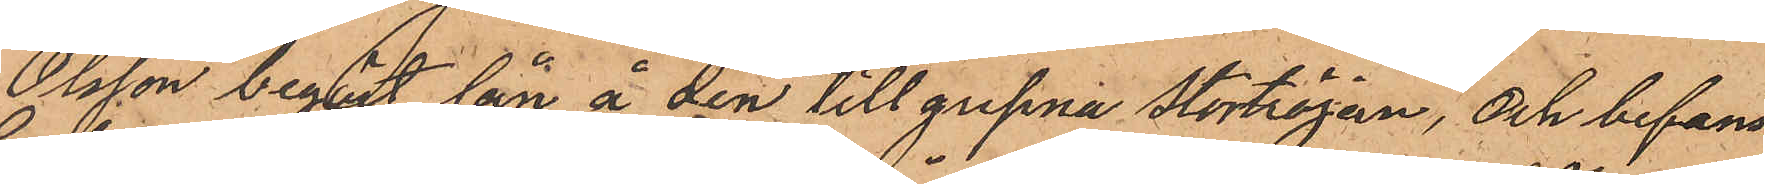Olsson begärt lån å den tillgripna Stortröjan, och befans
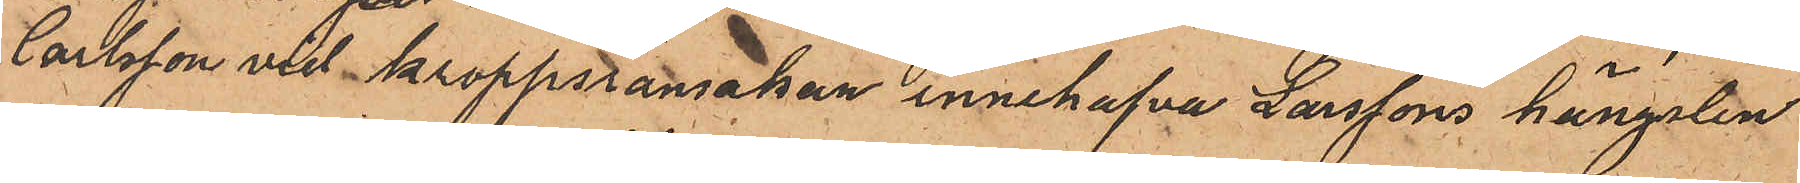Carlsson vid kroppsransakan innehafva Larssons hängslen
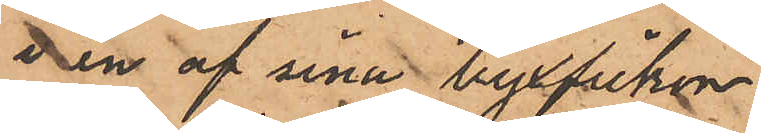i en af sina byxfickor.
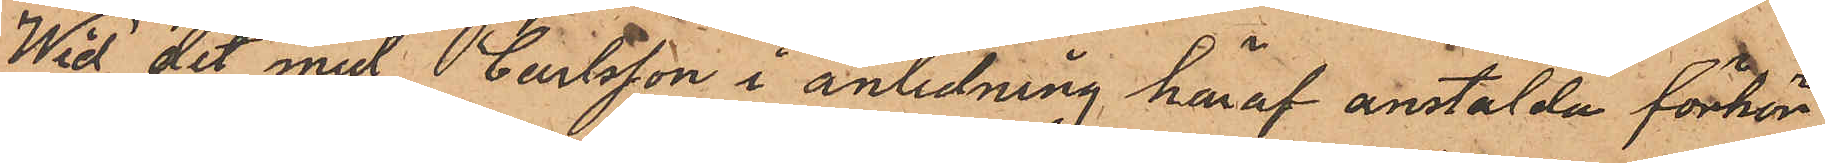Wid det med Carlsson i anledning häraf anstälda förhör
